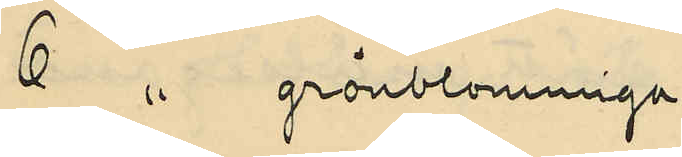6 " grönblommiga
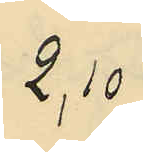2,10
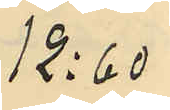12:60
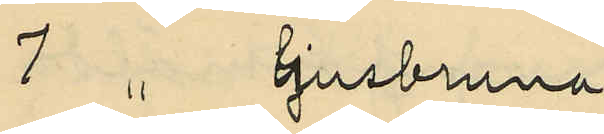7 " ljusbruna
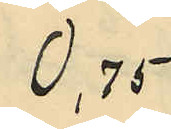0,75
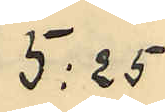5:25
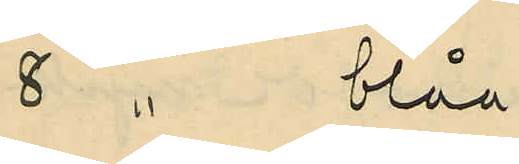8 " blåa
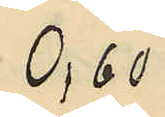0,60
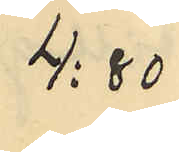4:80
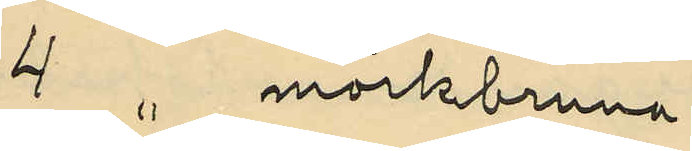4 " mörkbruna
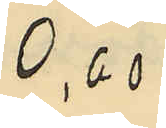0,60
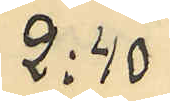2:40
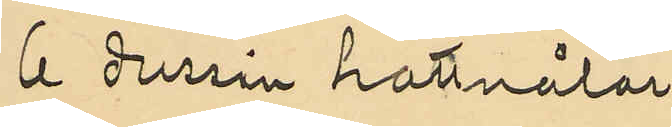6 dussin hattnålar,
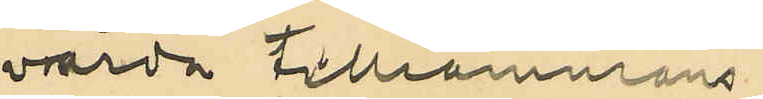värda tillammans
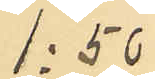1:50
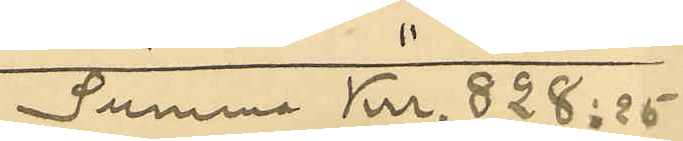Summa Kr. 828:25
